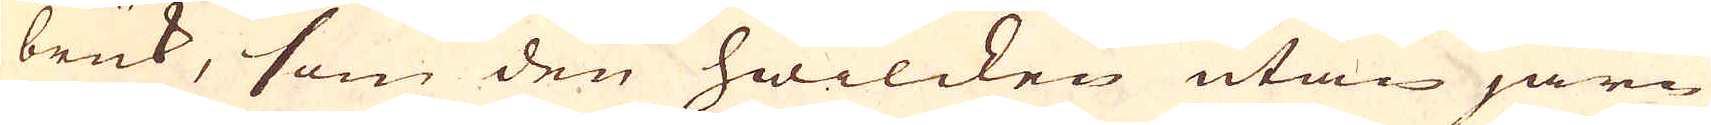bruk, som den hwilcken utan järn
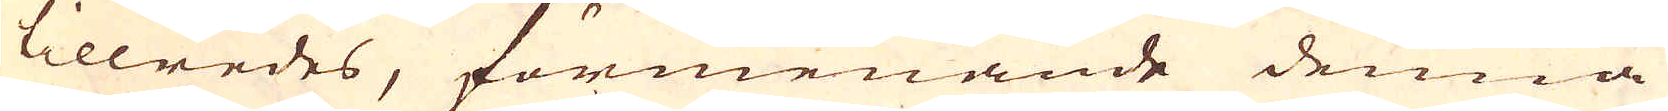tillredes, förmenande denna
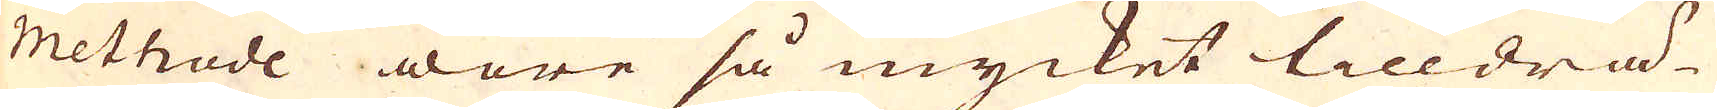Methode wore så mycket till drä-
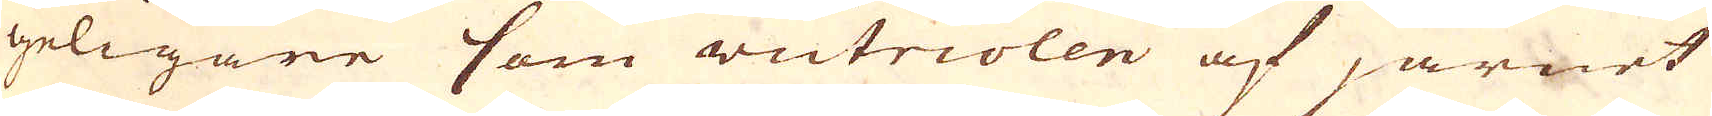geligare som victriolen af järnet
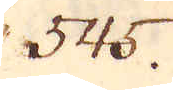545.
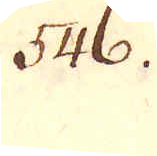546.
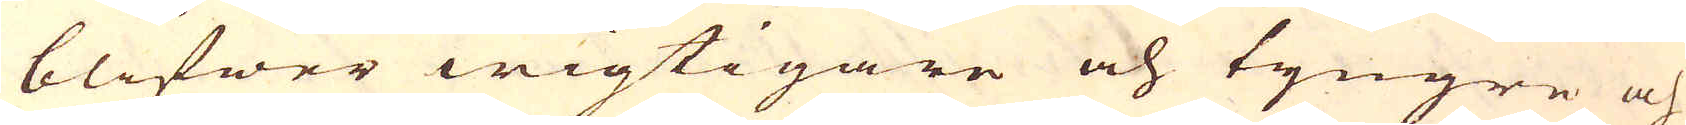blifwer wigtigare och tyngre och
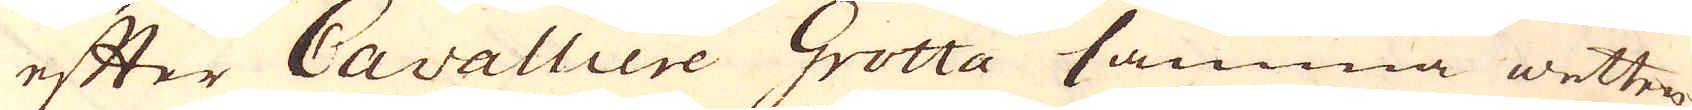efter Cavalliere Grotta samma wetten-
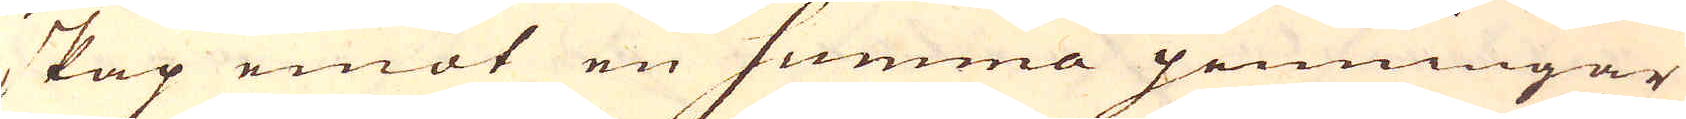skap emot en summa penningar
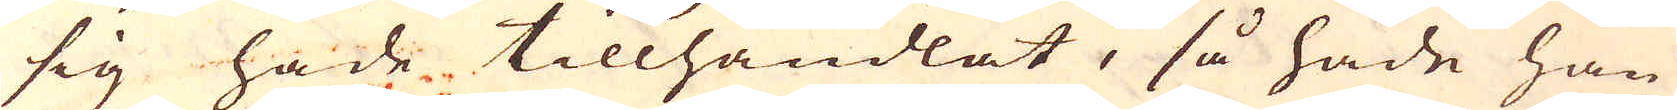sig hade tillhandlat, så hade han
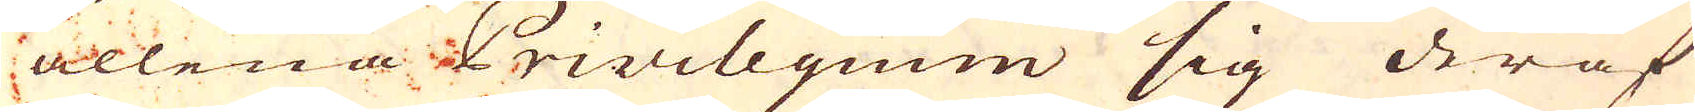allena Privilegum sig deraf
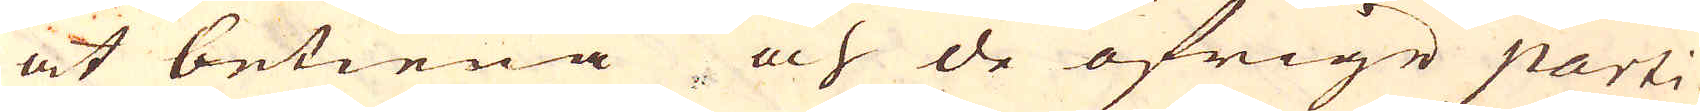at betiena och de öfrige parti-
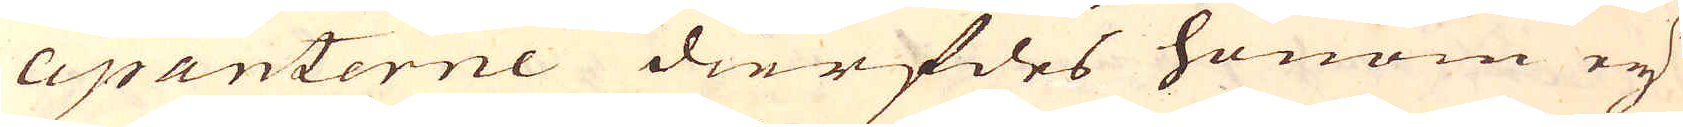cipanterne dierfdes honom eij
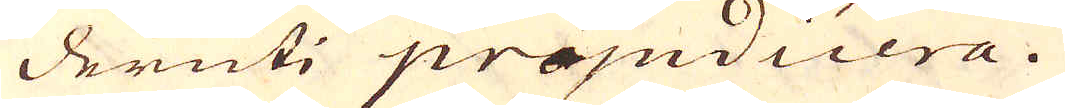deruti präjudicera.
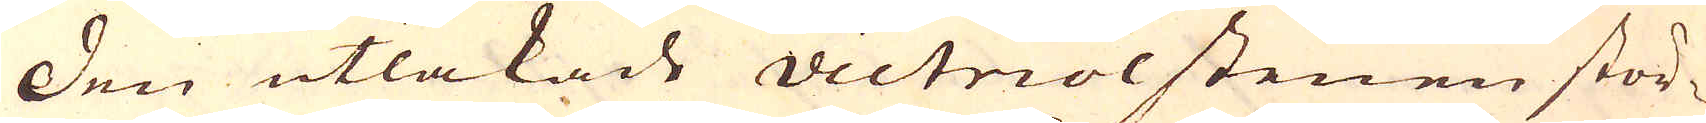Den utlakade victriolstenen stör-
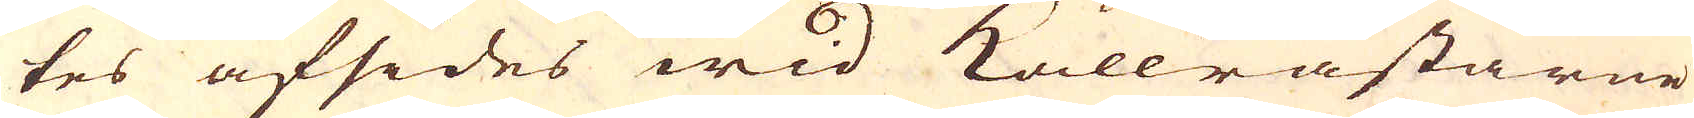tes afsides wid kallråstarne
